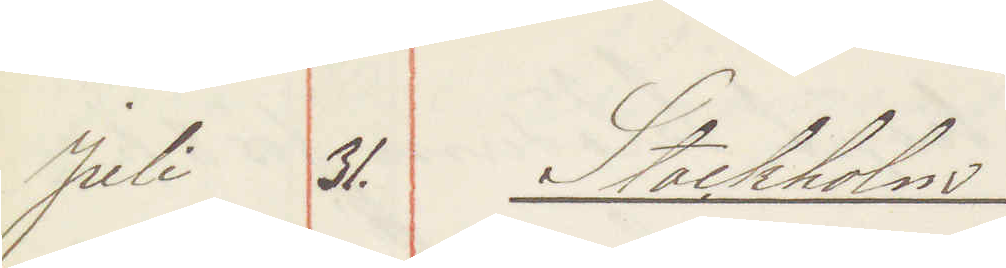Juli 31. Stockholm
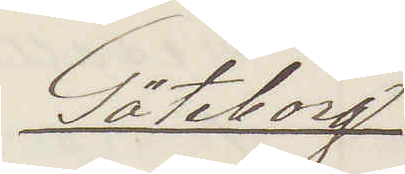Göteborg
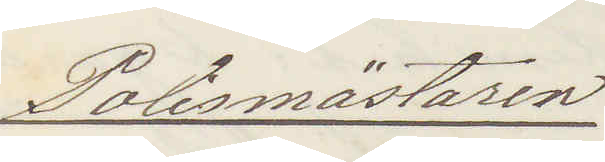Polismästaren
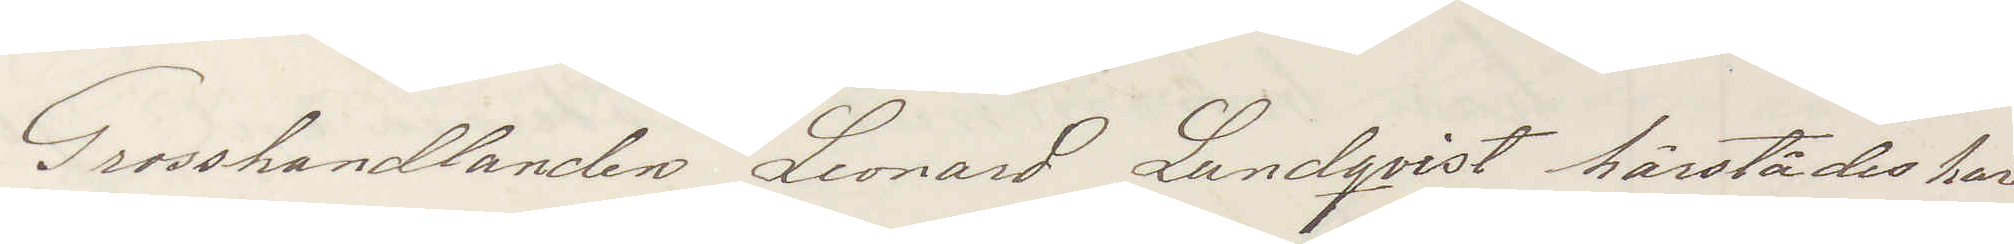Grosshandlanden Leonard Lundqvist härstädes har
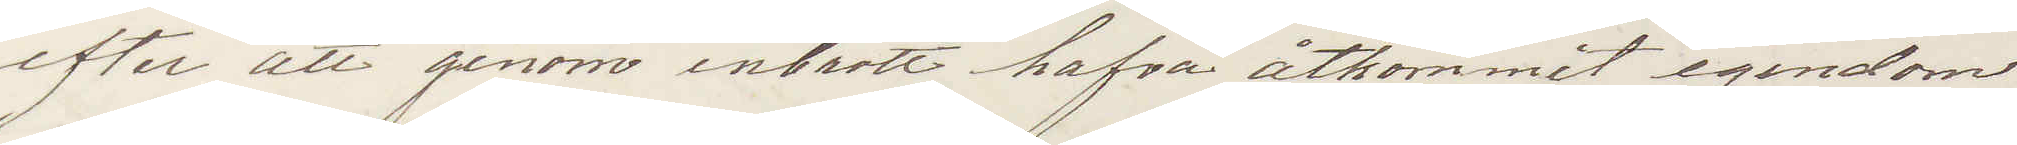efter att genom inbrott hafva åtkommit egendom
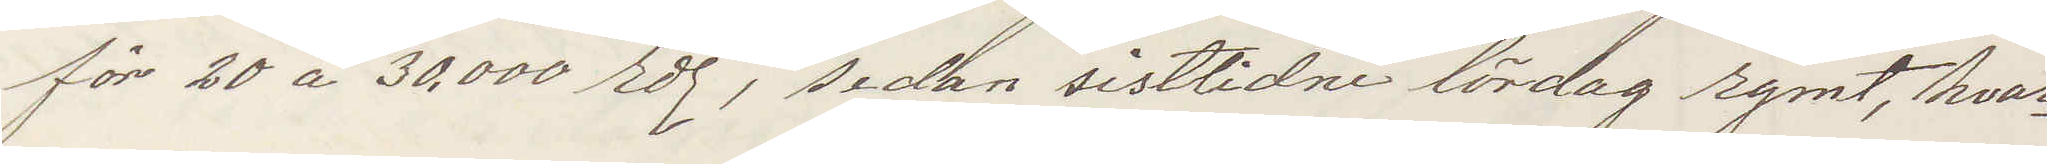för 20 à 30.000 rdr, sedan sistlidne lördag rymt, hvar¬
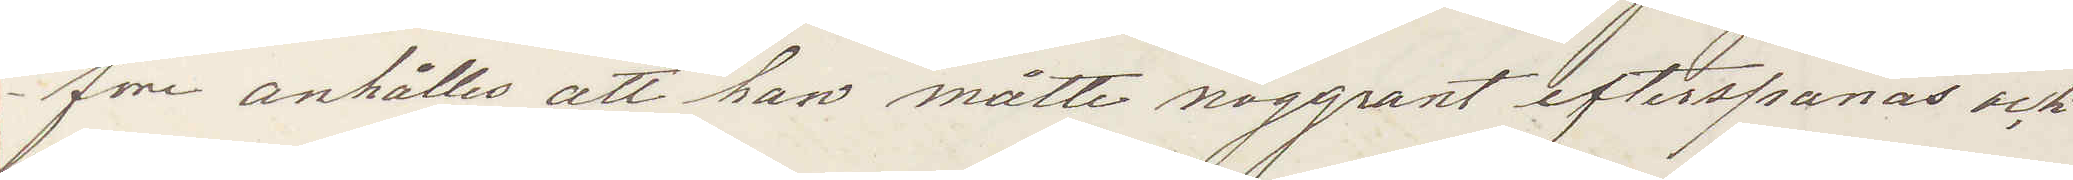före anhålles att han måtte noggrant efterspanas och
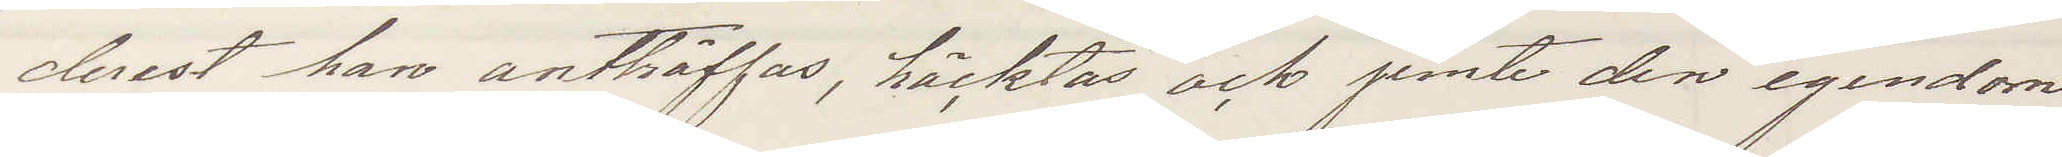derest han anträffas, häktas och jemte den egendom
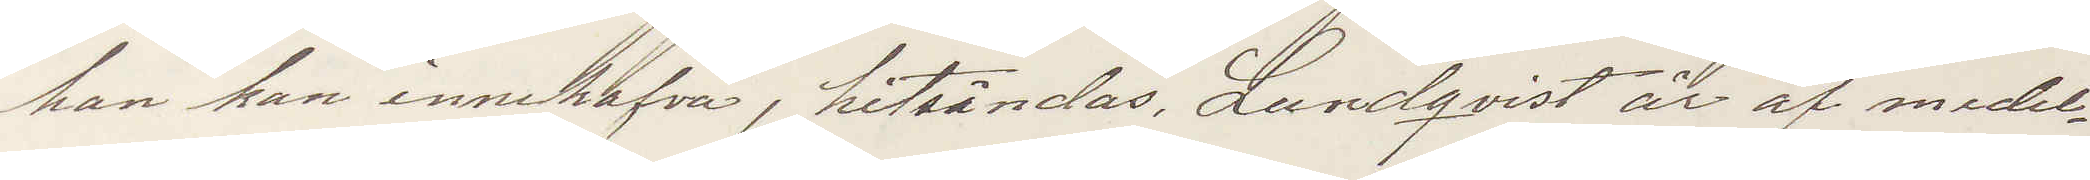han kan innehafva, hitsändas Lundqvist är af medel¬
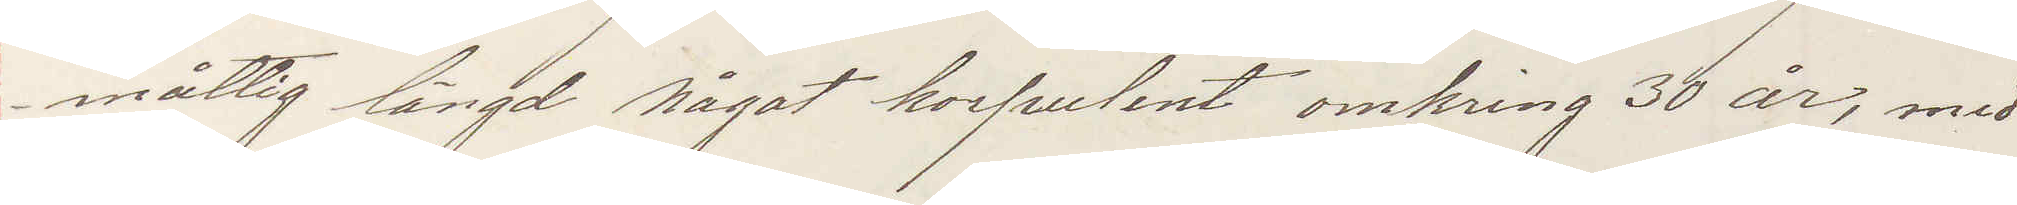måttig längd något korpulent omkring 30 år, med
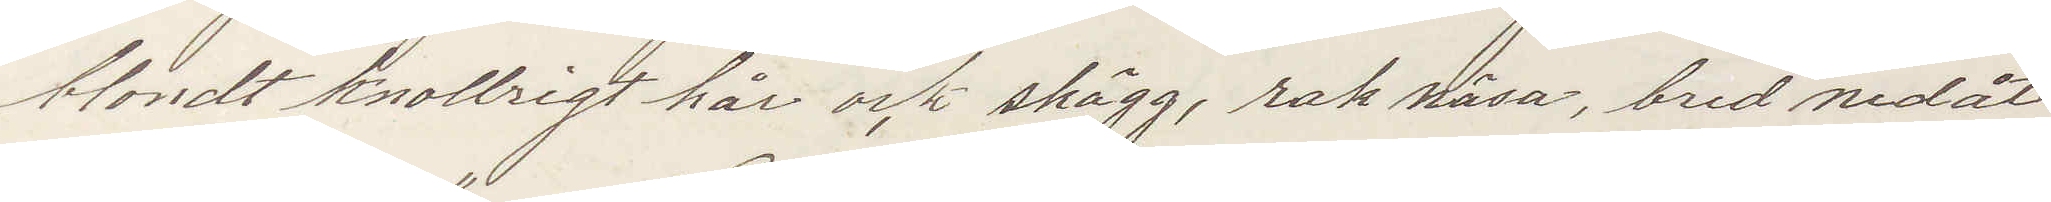blondt knollrigt hår och skägg, rak näsa, bred nedåt
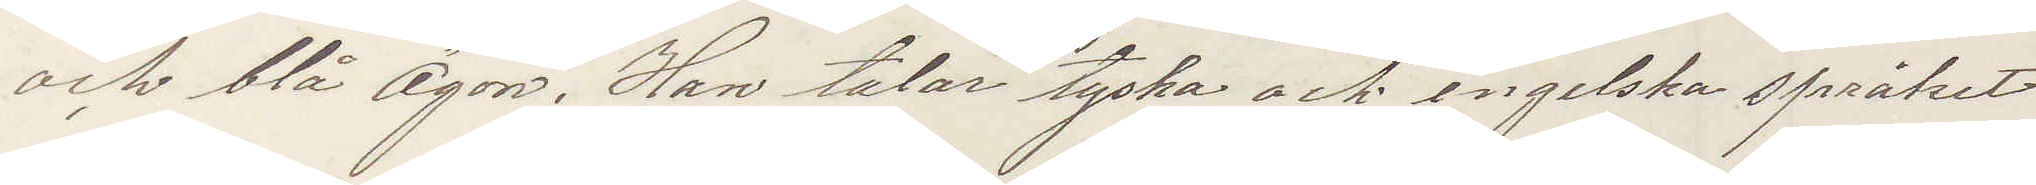och blå ögon. Han talar tyska och engelska språket
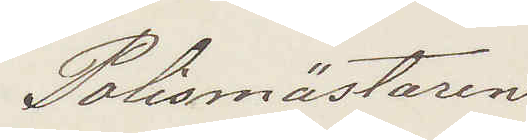Polismästaren
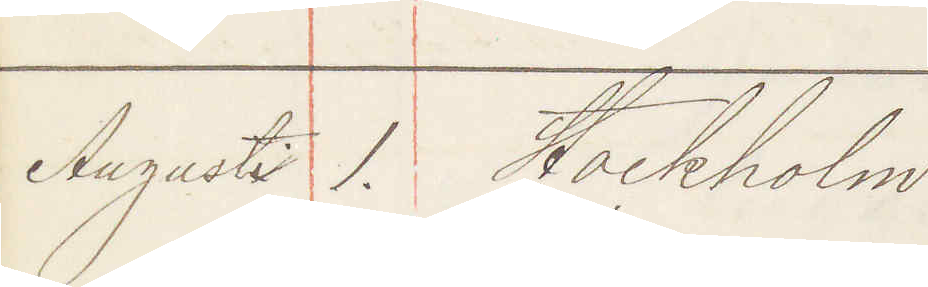Augusti 1. Stockholm
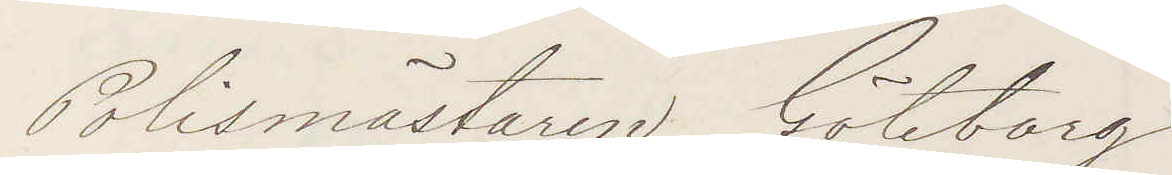Polismästaren Göteborg
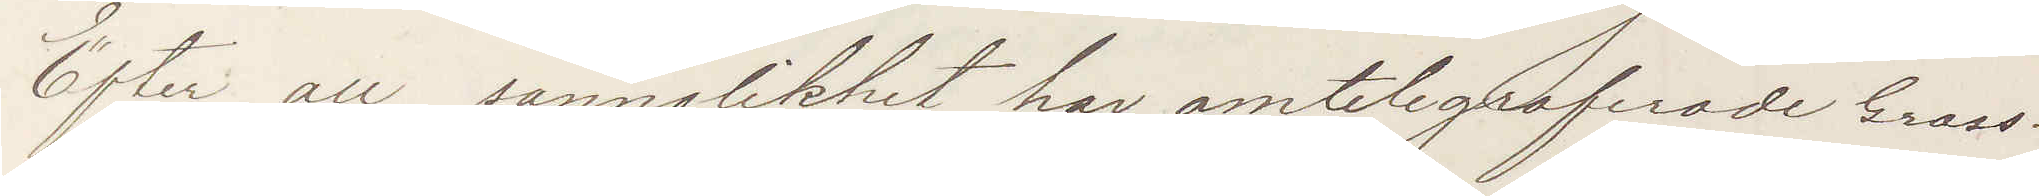Efter all sannolikhet har omtelegraferade Gross¬
